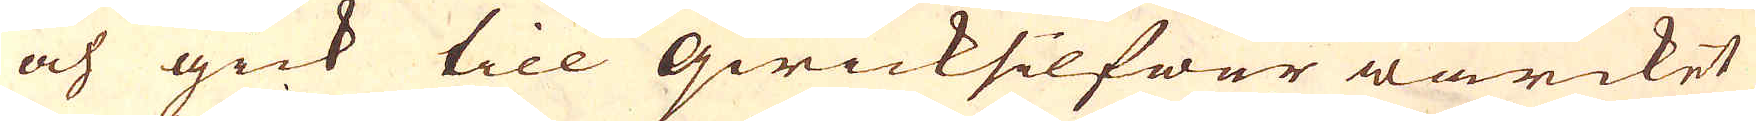och gick till qwicksilfwer wärcket
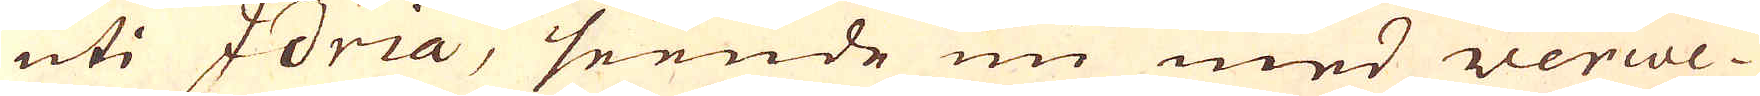uti Idria, seende nu med Verwe-
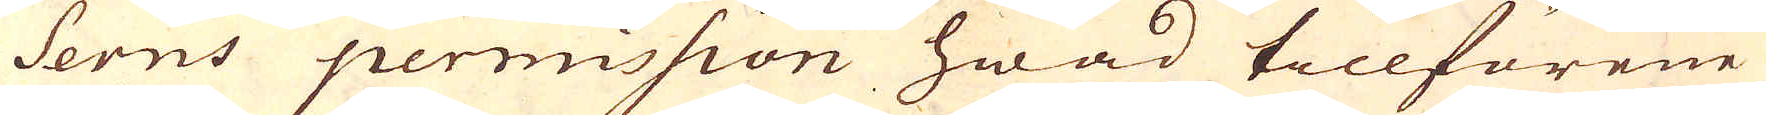serns permission hwad tillförene
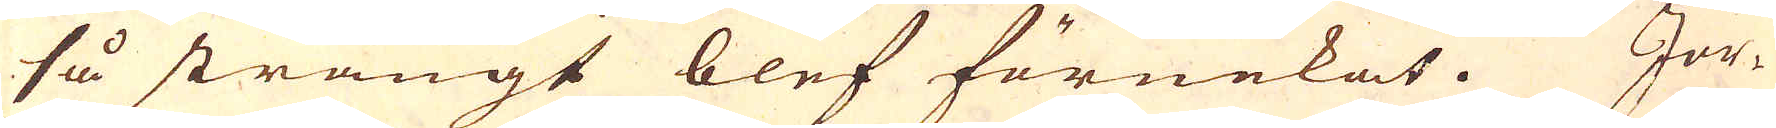så strängt blef förnekat. Jor-
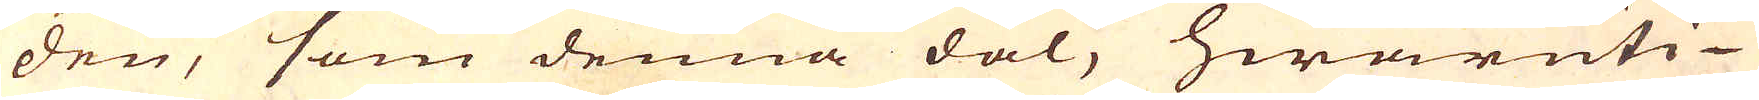den, som denna dal, hwaruti
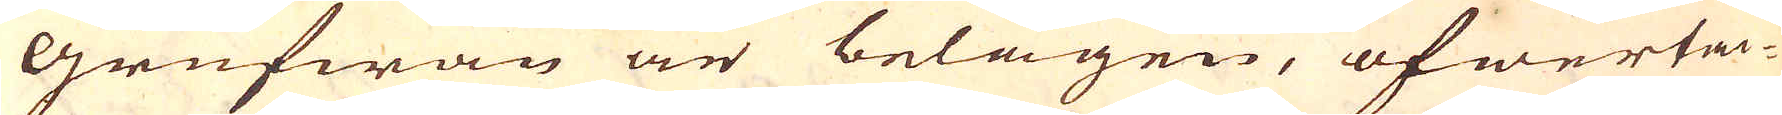Grufwan är belägen, öfwertä-
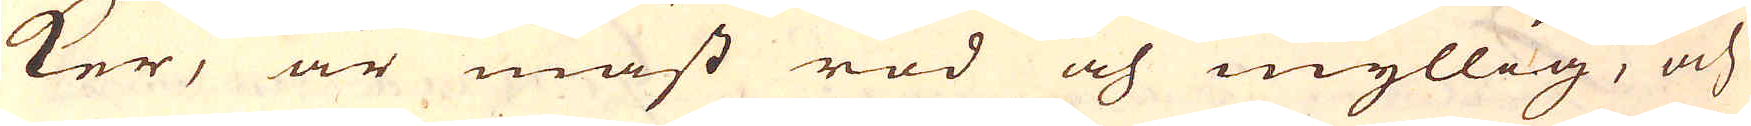ker, är mäst röd och myllig, och
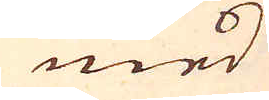med
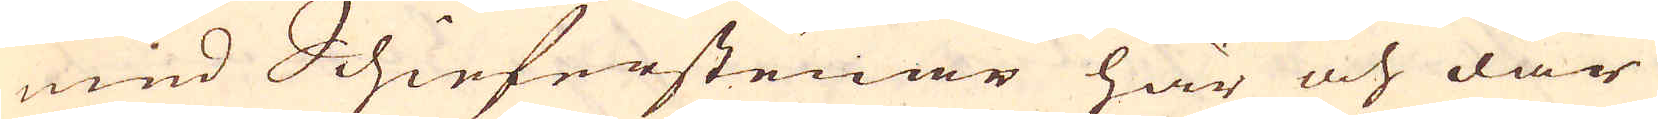med Schieferstenar här och där
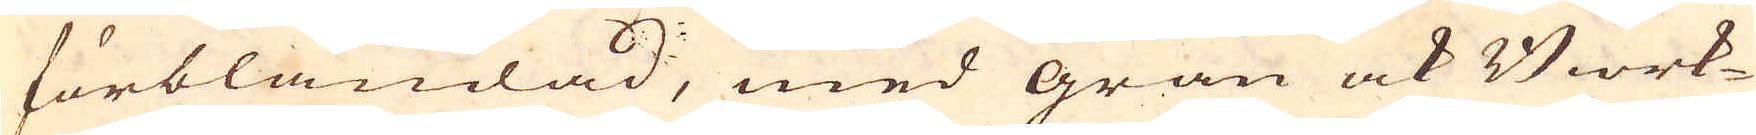förblandad, med gran ock Biörk-
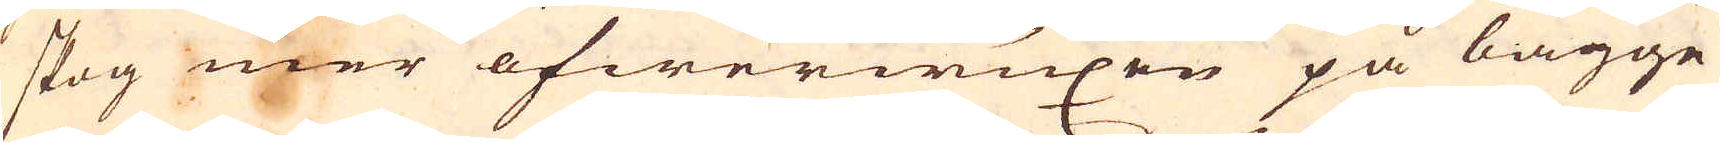skog mer öfwerwuxen på bägge
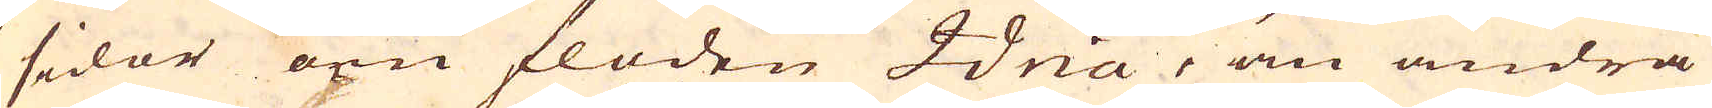sidor om floden Idria, än andra
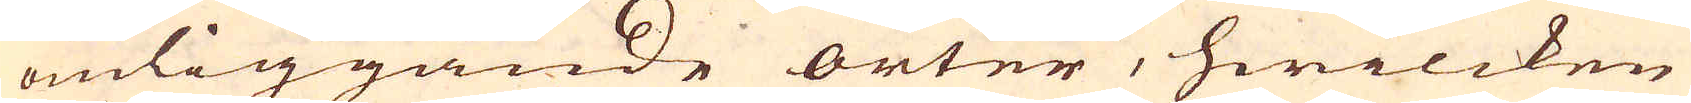omliggande orter, hwilcken
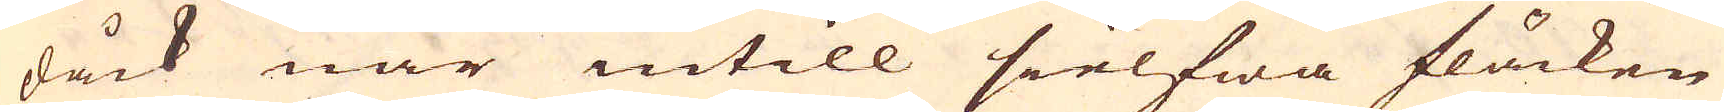dåck när intill sielfwa fläcken
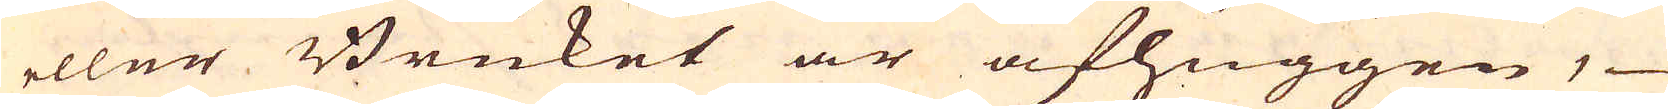eller Bruket är afhuggen,
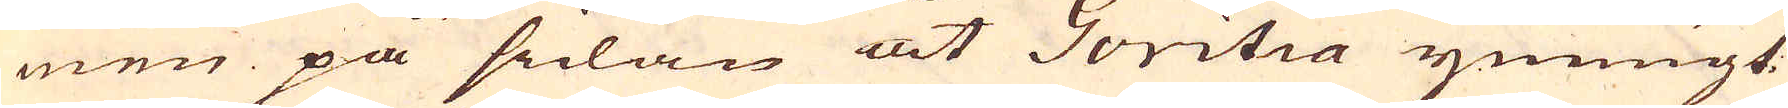men på sidan åt Goritia ymnigt
